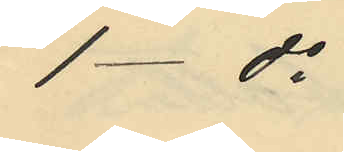1 - do
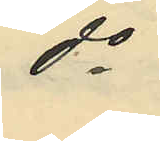do
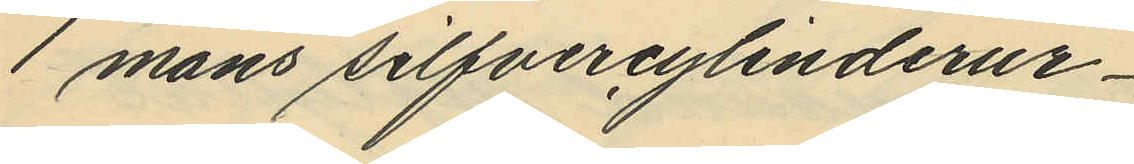1 mans silfvercylinderur
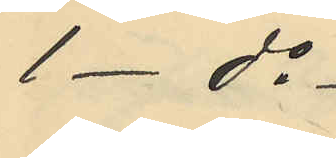1 - do
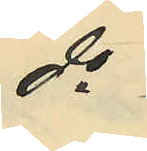do
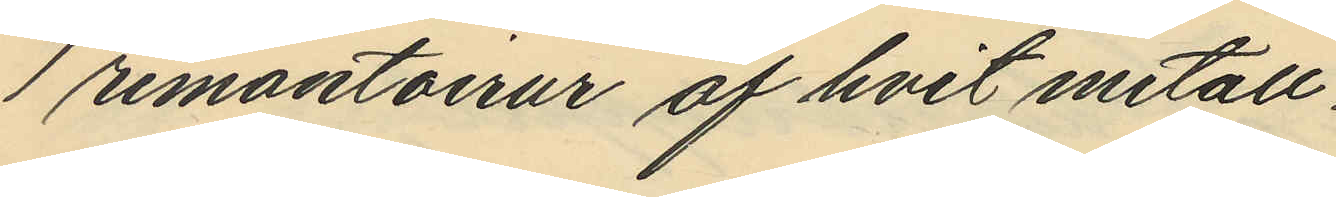1 remontoirur af hvit metall
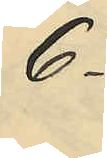6
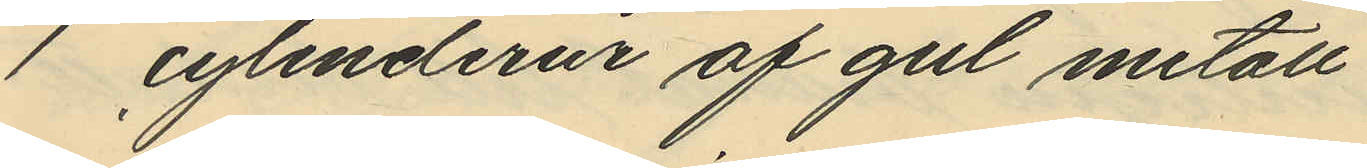1 cylinderur af gul metall
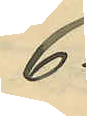6
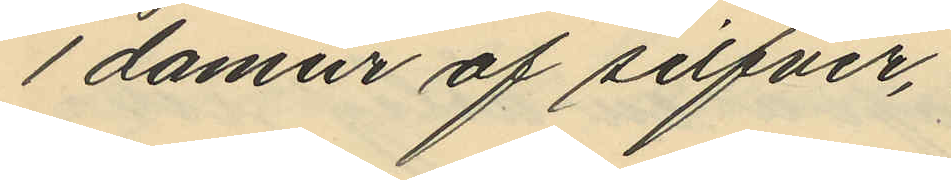1 damur af silfver,
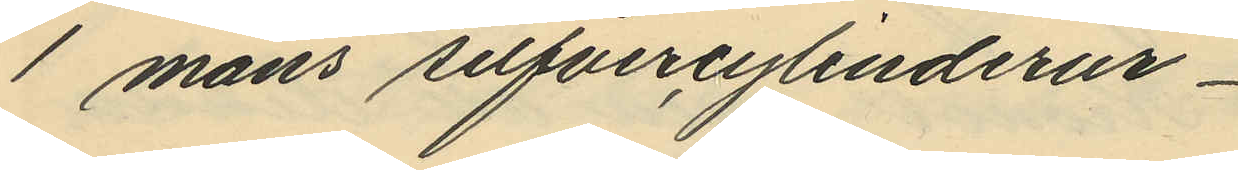1 mans silfvercylinderur
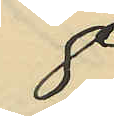8
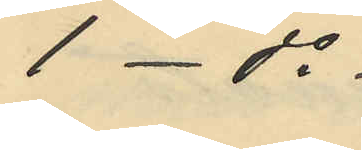1 - do
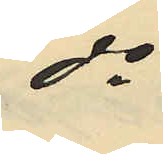do
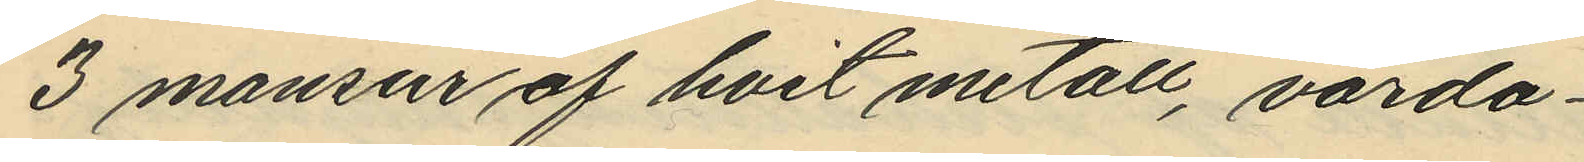3 mansur af hvit metall, värda
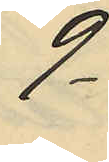9
